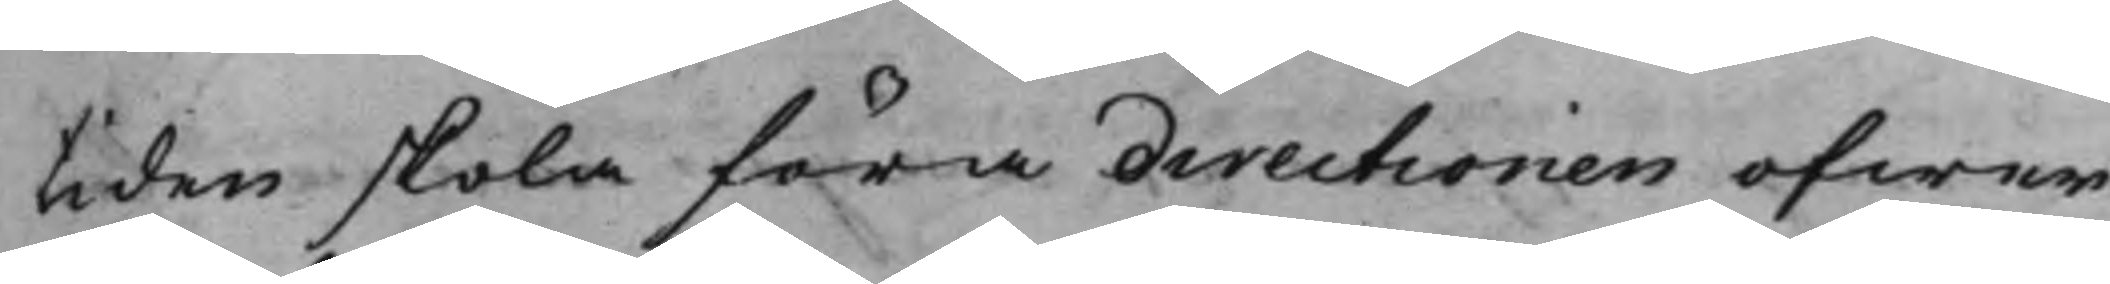tiden skola föra directionen ofwer
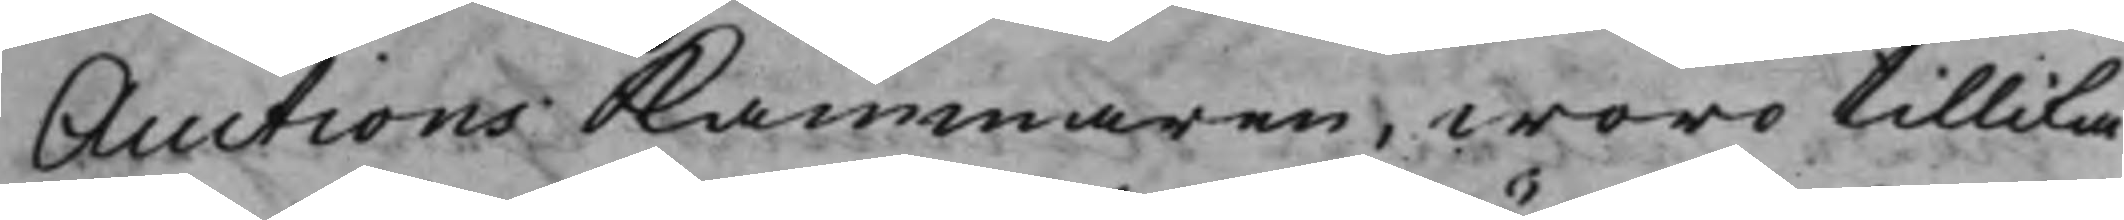Auctions Kammaren, woro tillika
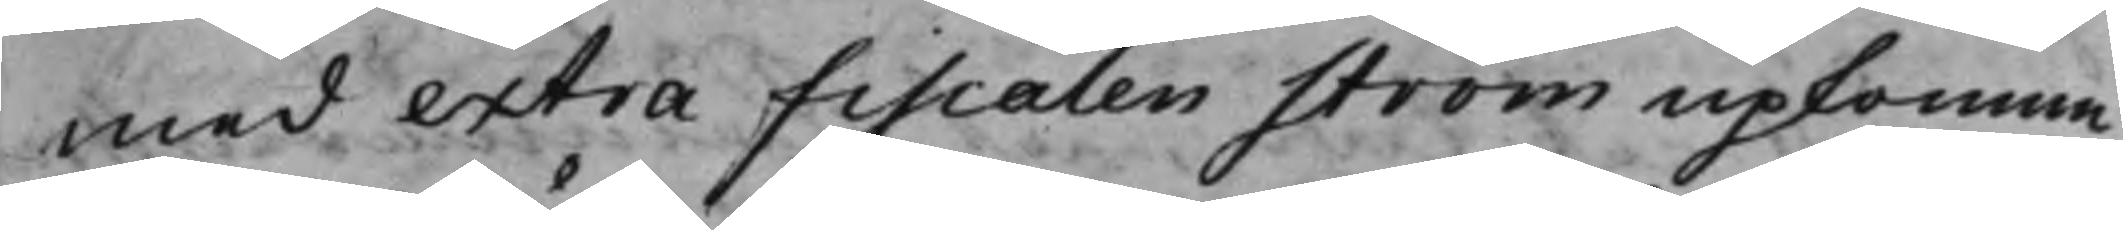med extra Fiscalen Ström upkomne,
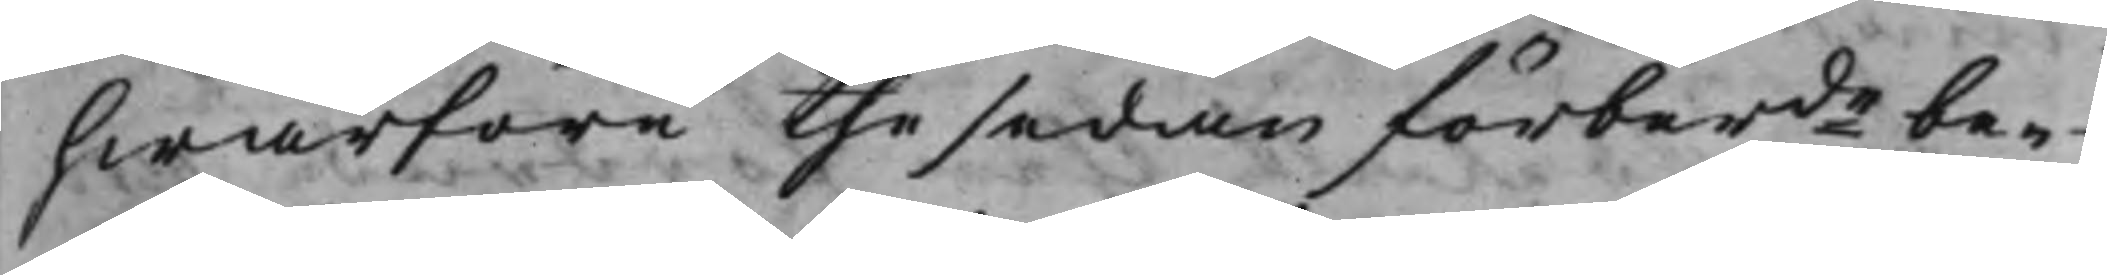hwarföre the sedan förberde be¬
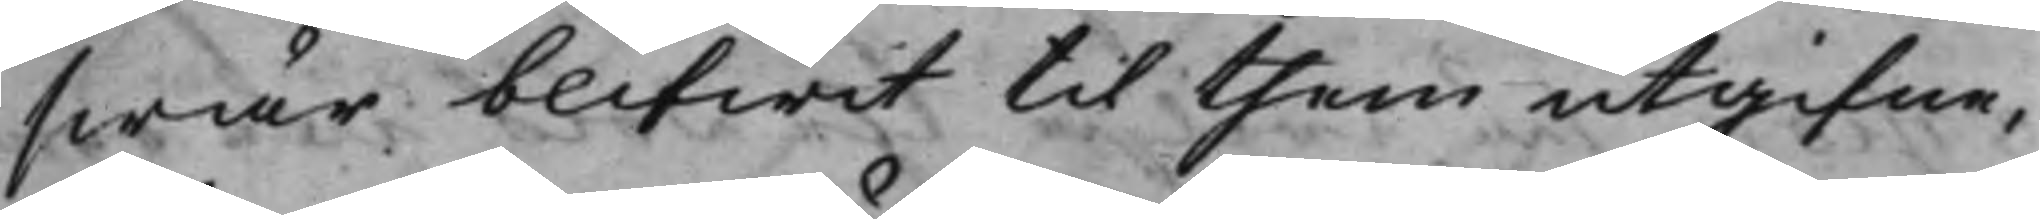swär blifwit til them utgifne,
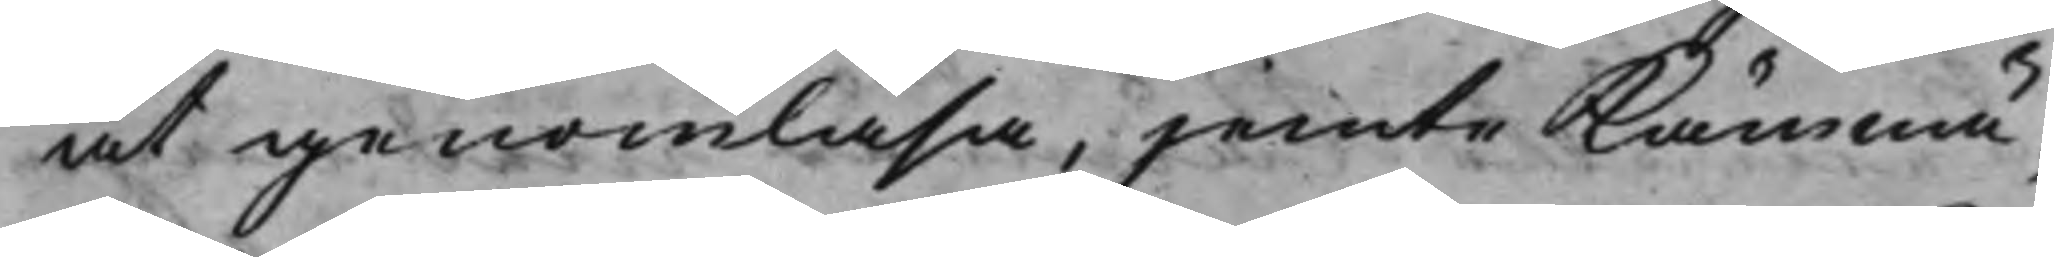at genomläsa, jemte Kämnä¬
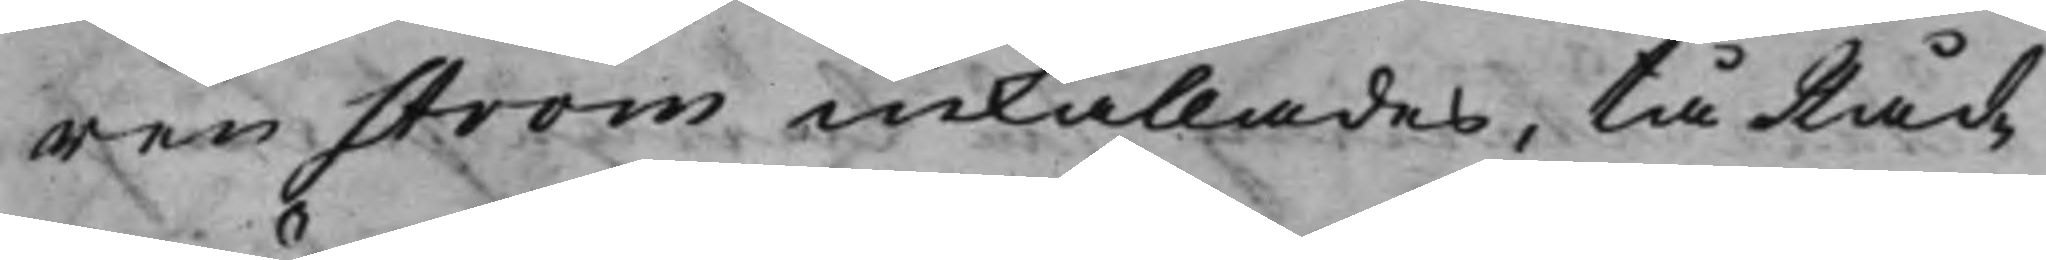ren Ström inkallades, tå Råd¬
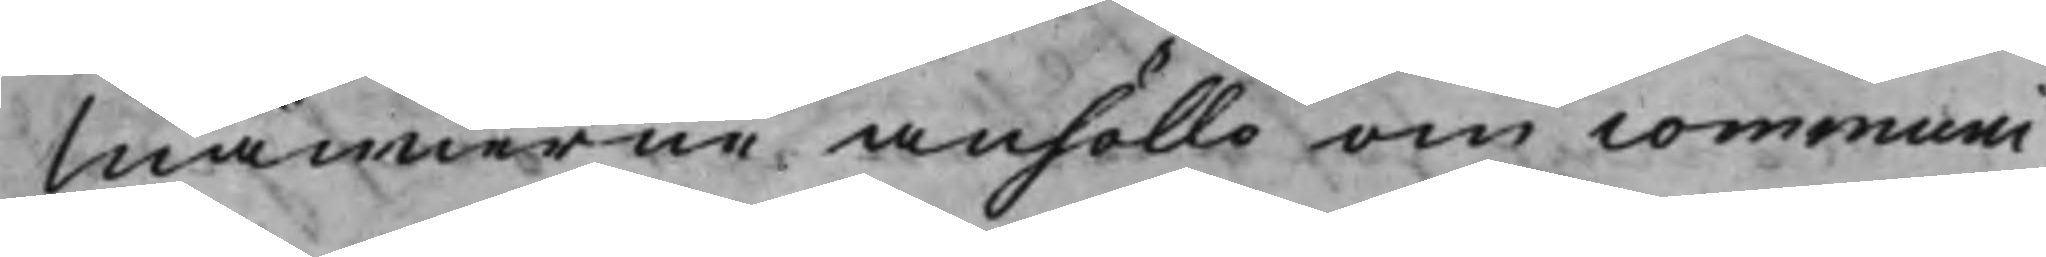Männerne anhöllo om communi¬
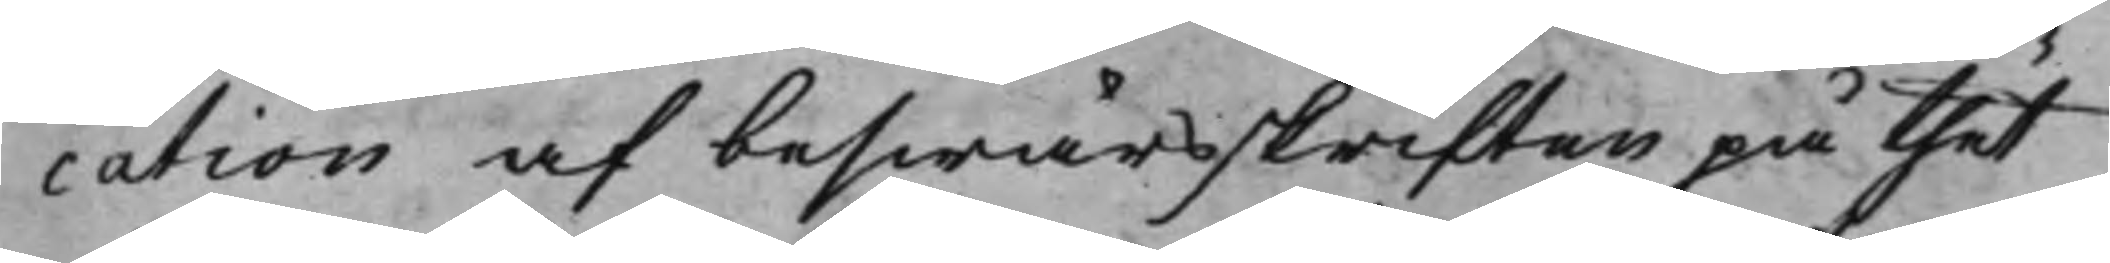cation af beswärsskriften på thet
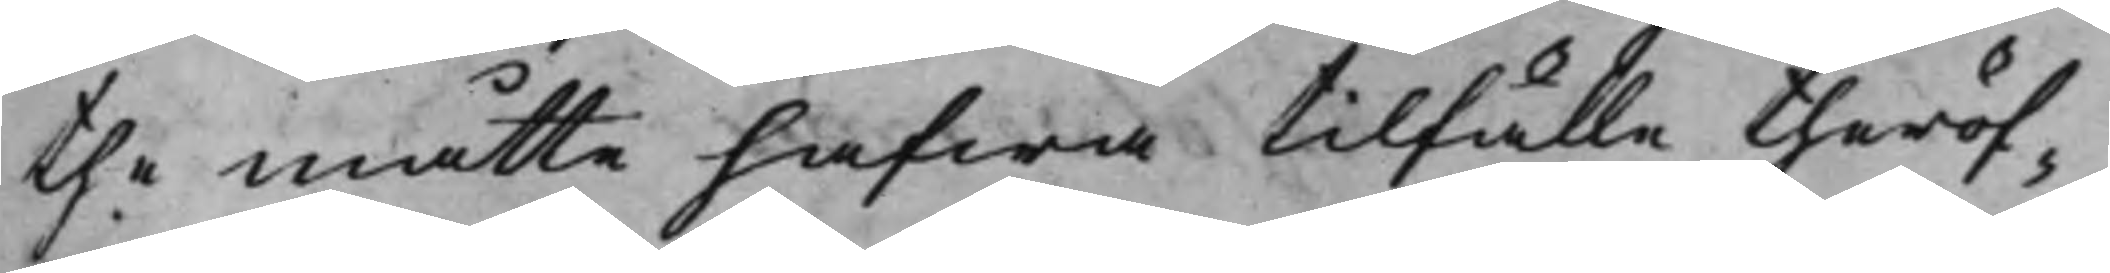the måtte hafwa tilfälle theröf¬
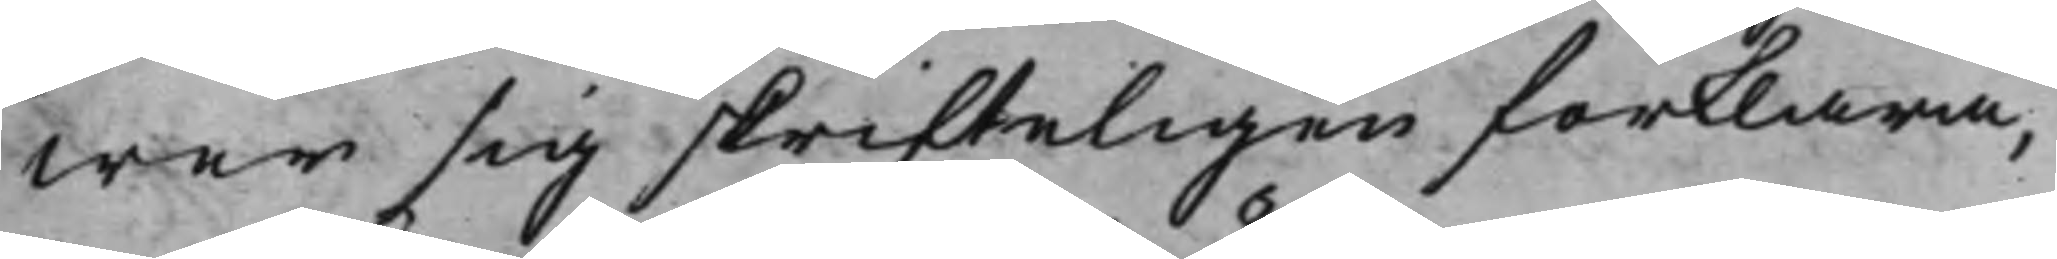wer sig skrifteligen förklara,
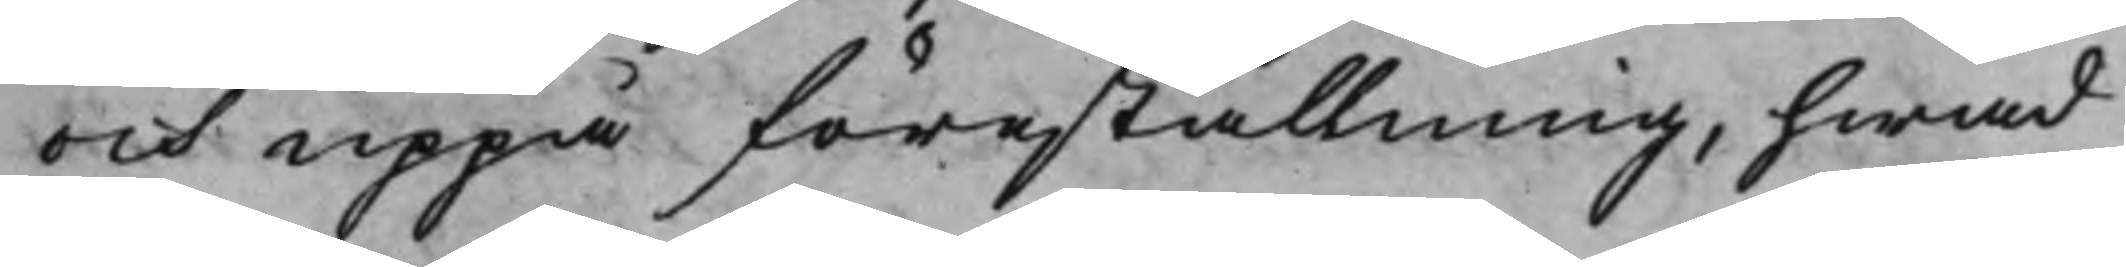och uppå föreställning, hwad
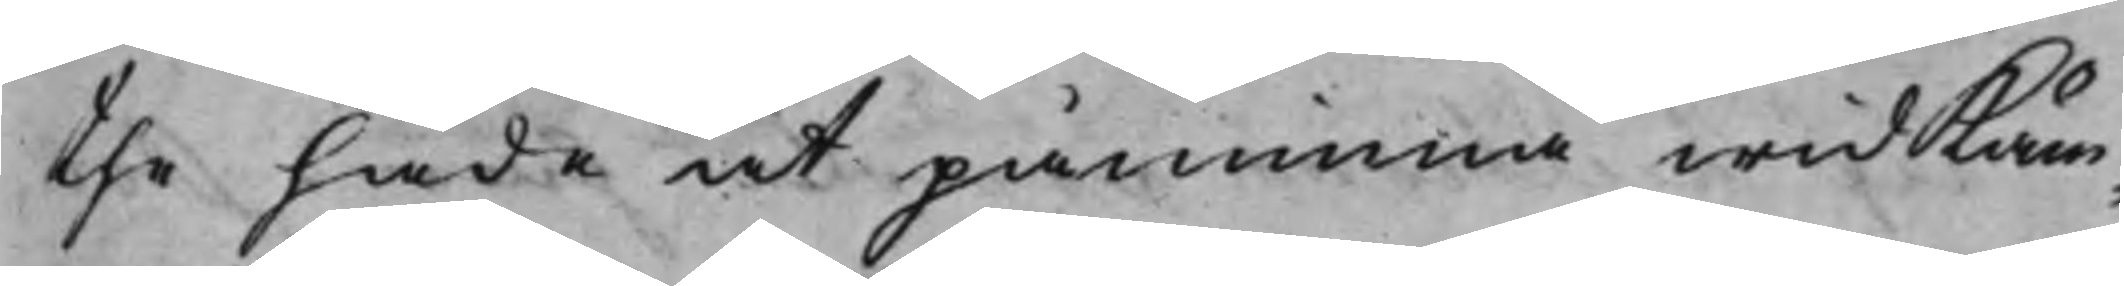the hade at påminna wid Käm¬
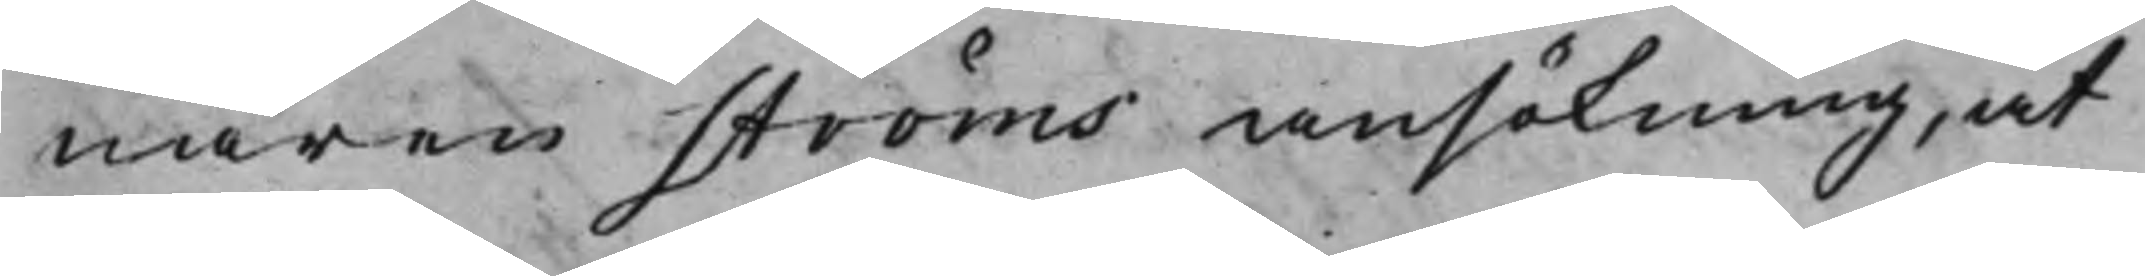nären Ströms ansökning, at
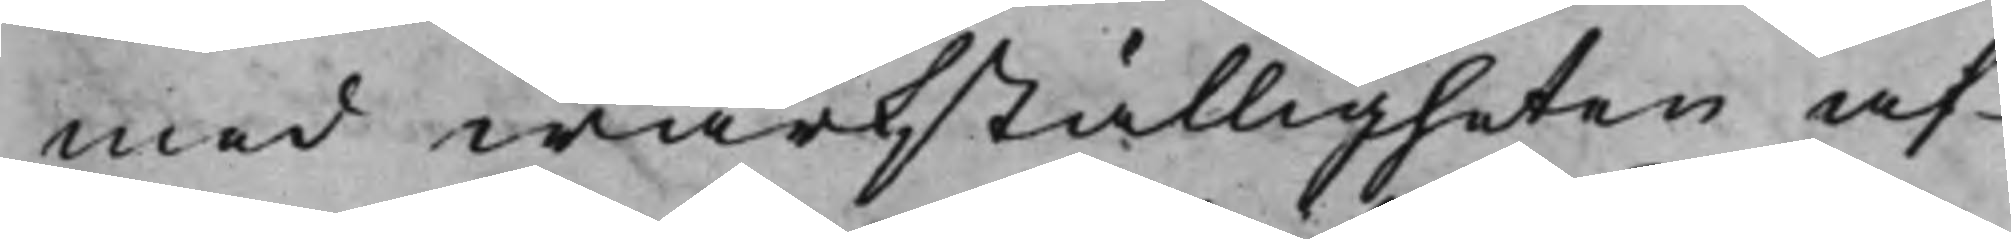med wärkställigheten af
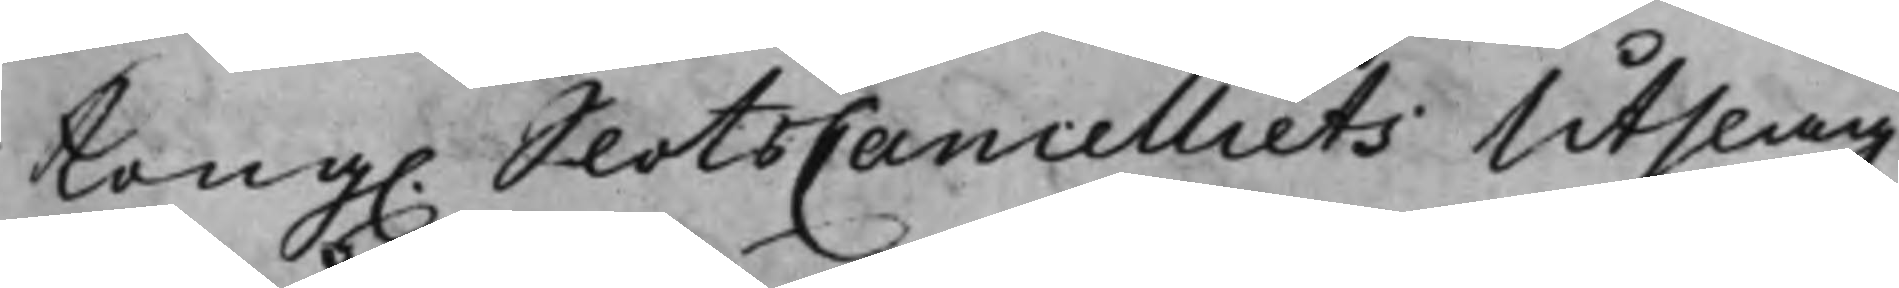Kong. SlotsCancelliets Utslag
